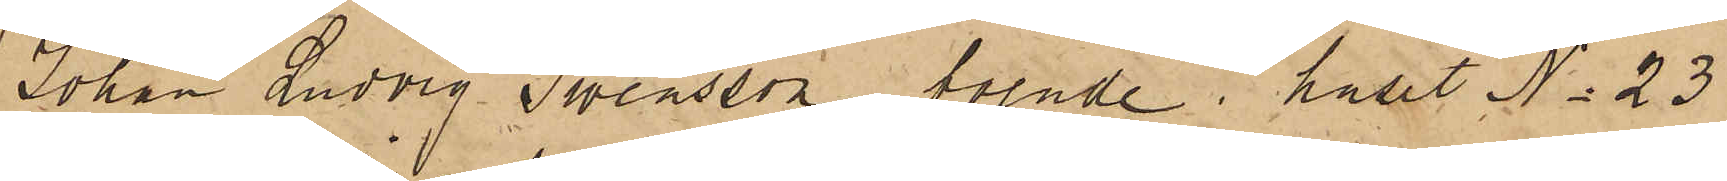Johan Ludvig Swensson, boende i huset No 23
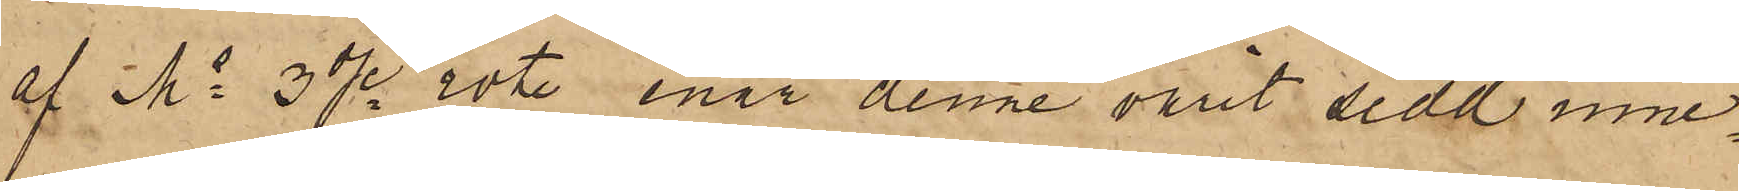af Ms 3dje rote enär denne varit sedd inne¬
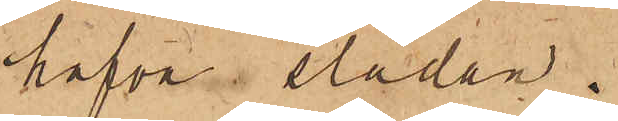hafva släden.
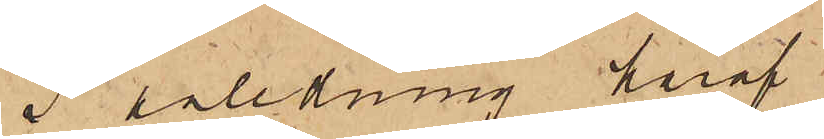I anledning häraf
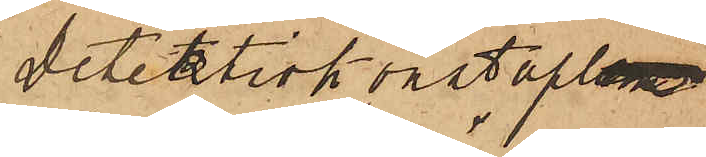detektivkonstaplen
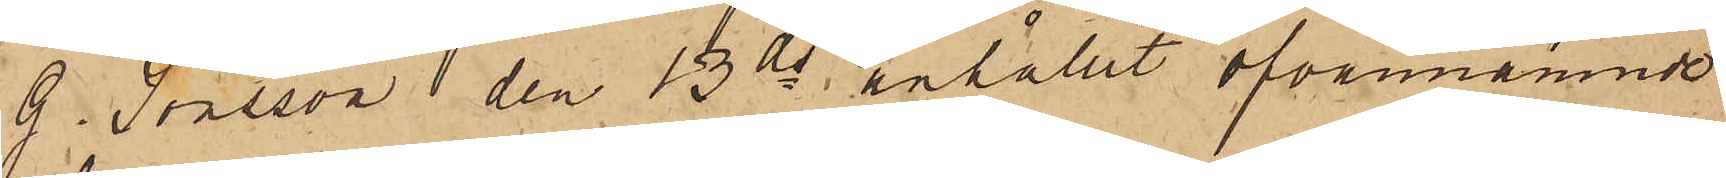G. Jönsson den 13 ds anhållit ofvannämnde
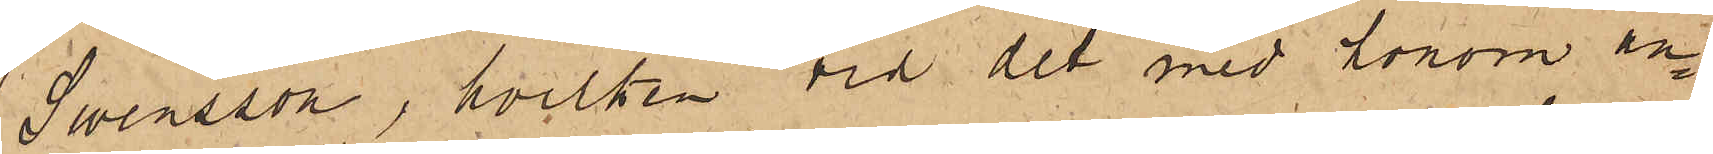Swensson, hvilken vid det med honom an¬
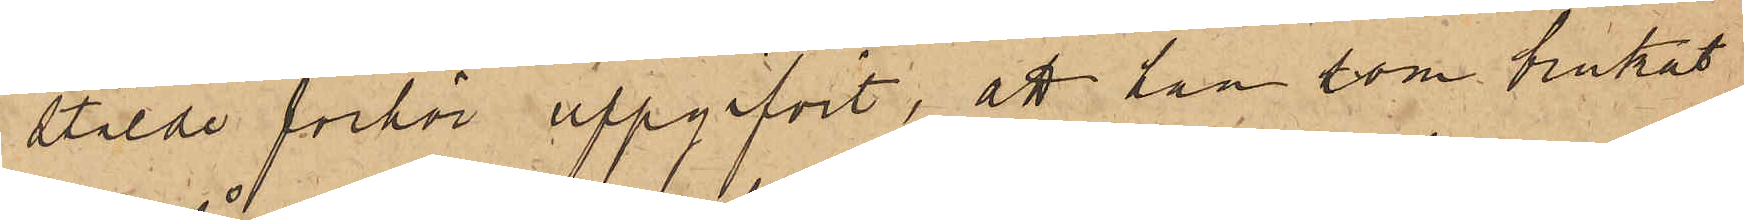stälde förhör uppgifvit, att han som brukat
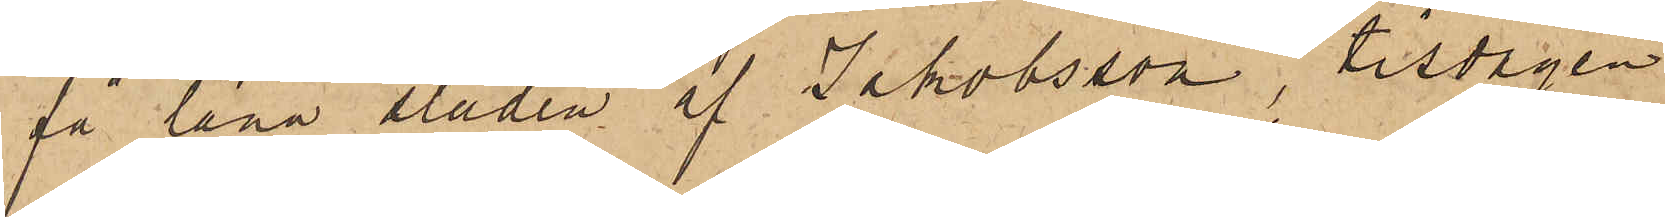få låna släden af Jakobsson, tisdagen
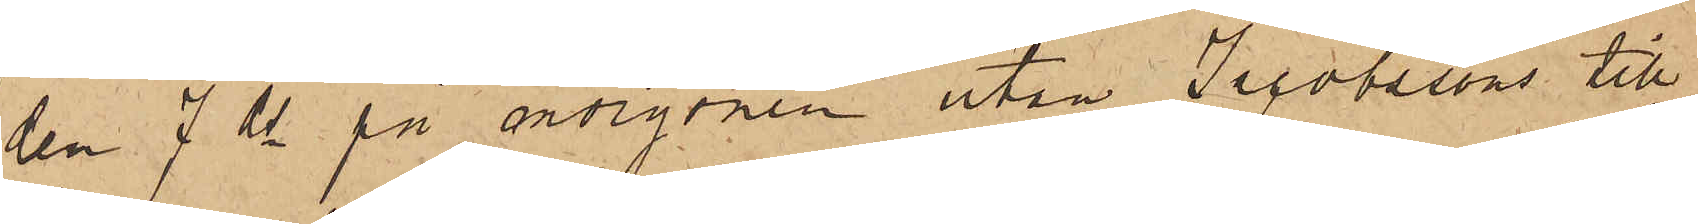den 7 ds på morgonen utan Jacobssons till¬
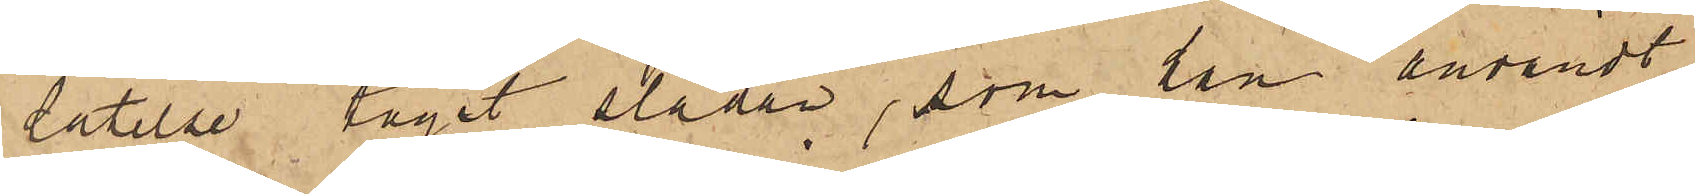låtelse tagit släden, som han användt
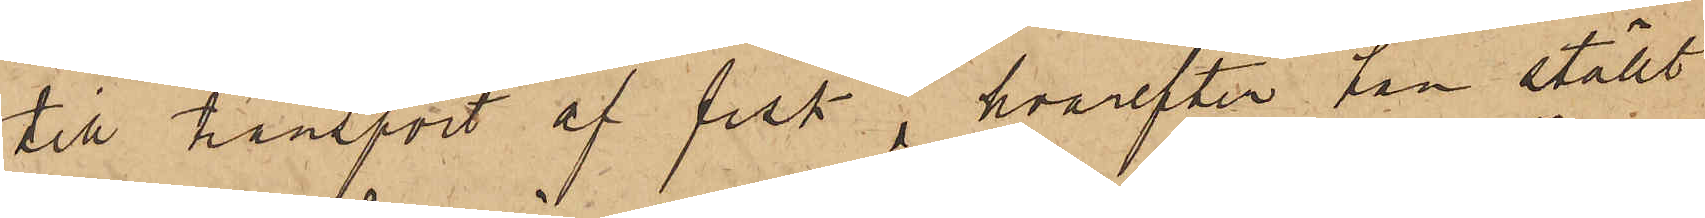till transport af fisk, hvarefter han ställt
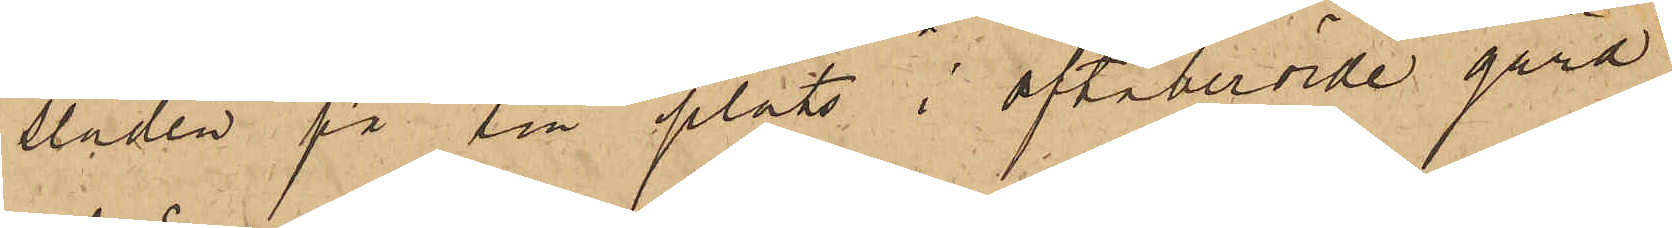släden på sin plats i oftaberörde gård.
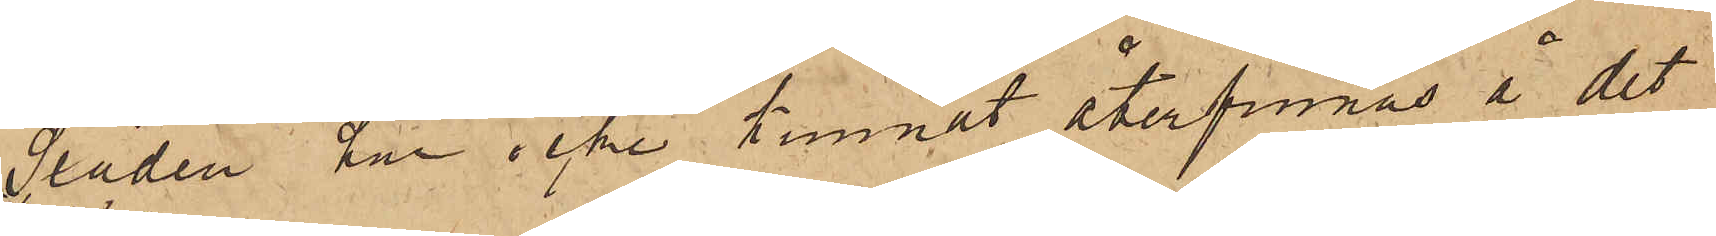Släden har icke lemnat återfinnas å det
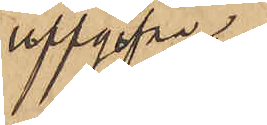uppgifva
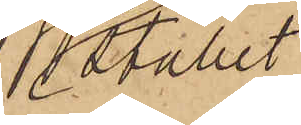stället
